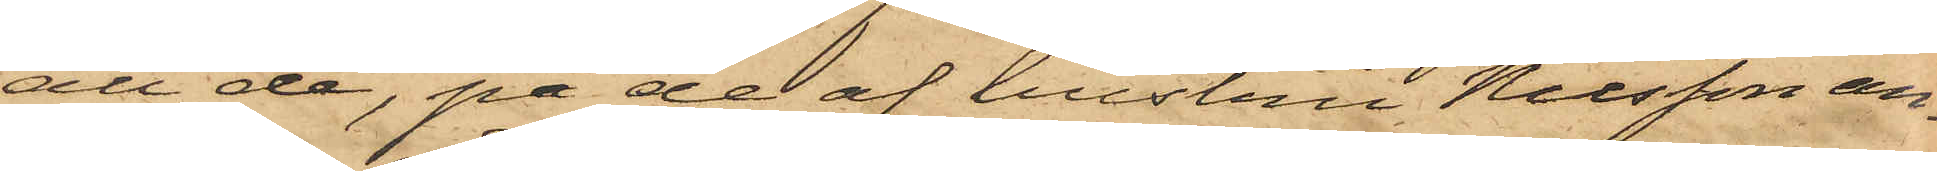att de, på de af hustru Nilsson an¬
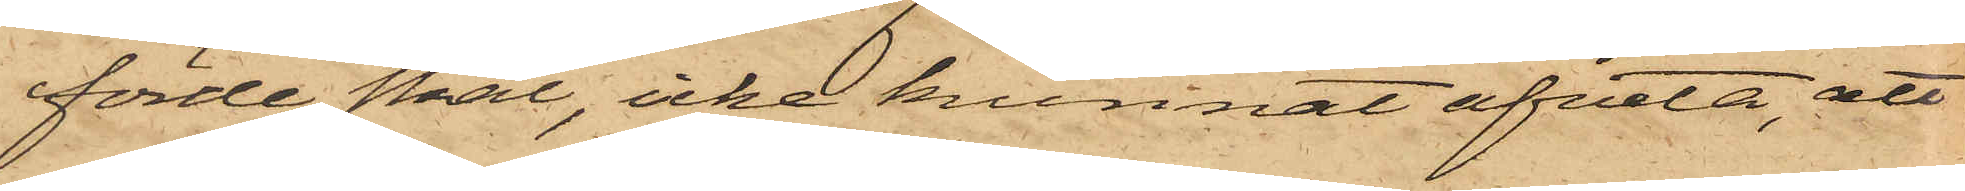förde skäl, icke kunnat afveta, att
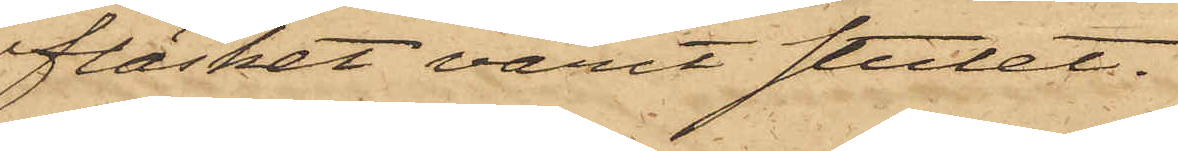fläsket varit stulet.
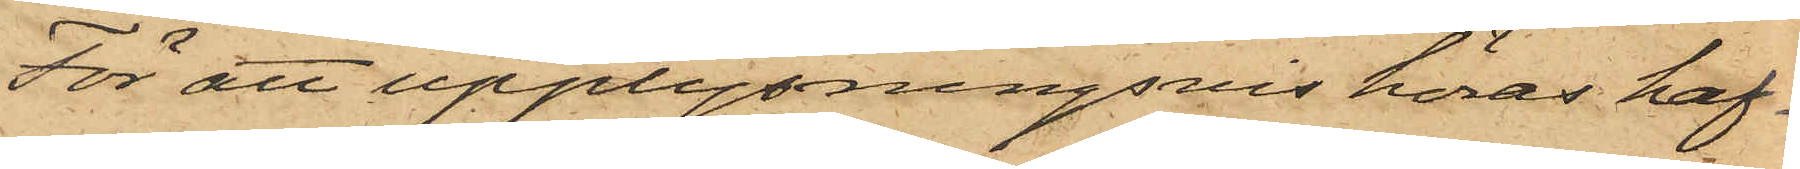För att upplysningsvis höras haf¬
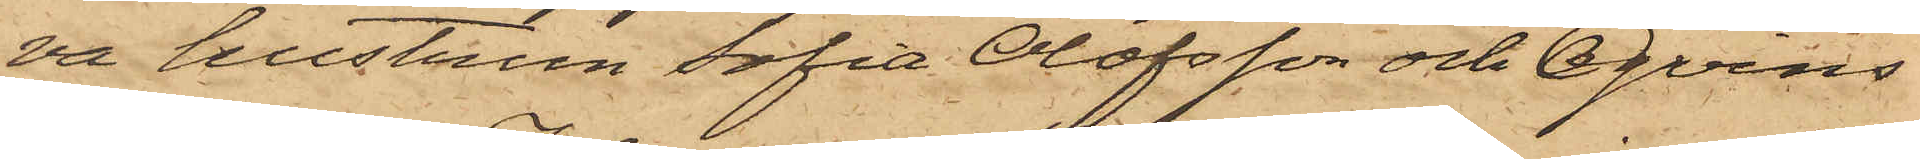va hustrun Sofia Olofsson och Qvins¬
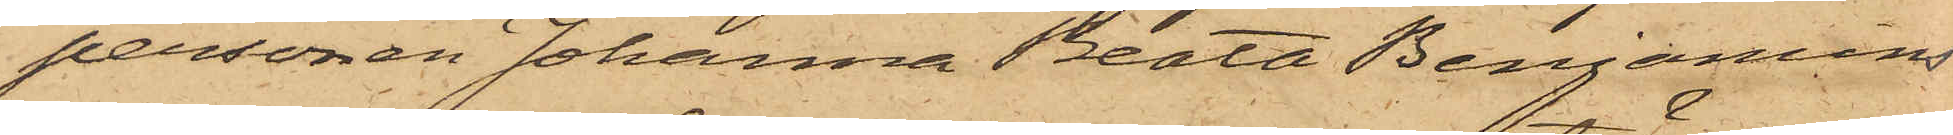personen Johanna Beata Benjamins¬
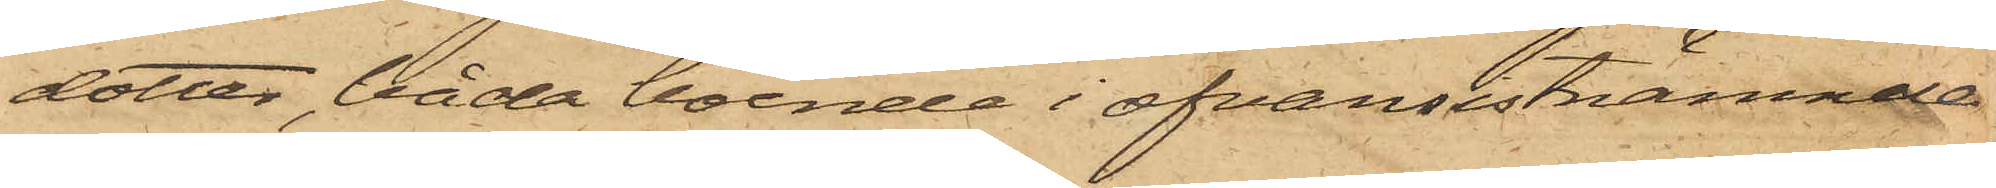dotter, båda boende i ofvansistnämnde
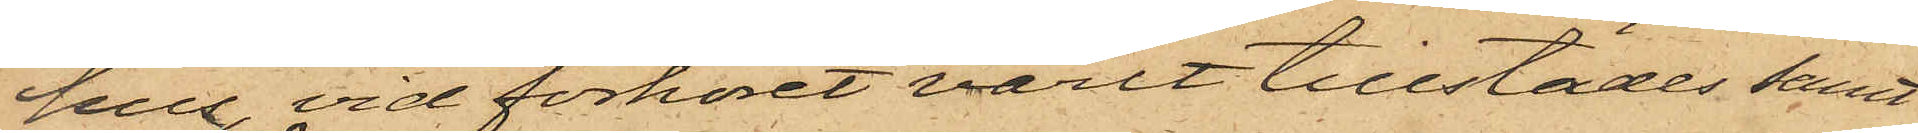hus, vid förhöret varit tillstädes samt
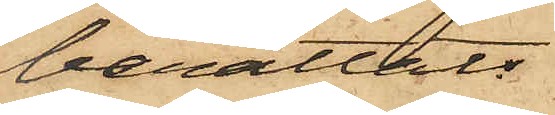berättat:
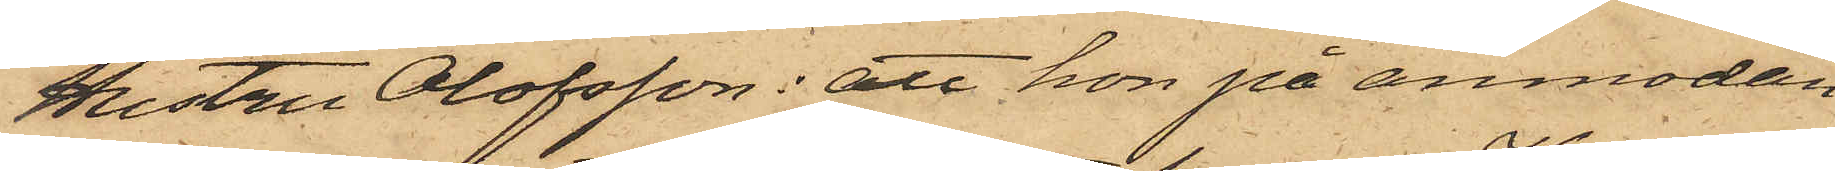Hustru Olofsson: att hon på anmodan
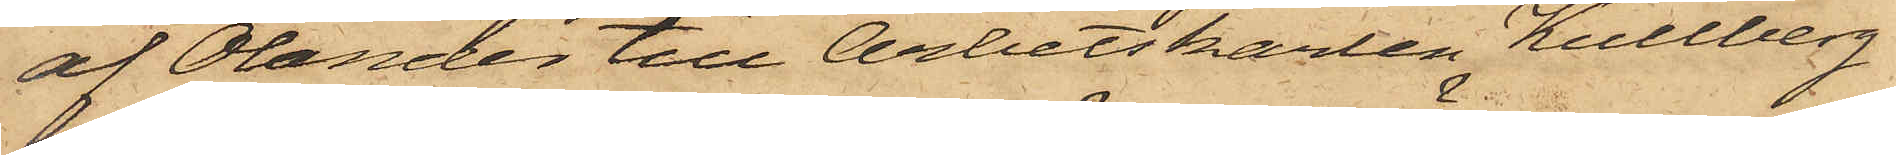af Olander till Arbetskarlen Kullberg
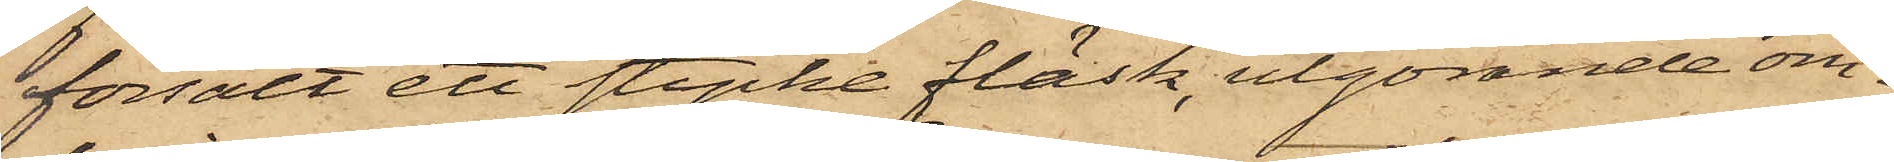försålt ett stycke fläsk, utgörande om¬
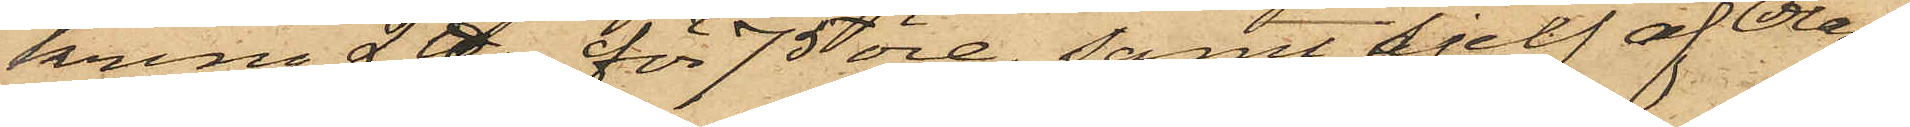kring 2 ℔., för 75 öre, samt sjelf af Olan¬
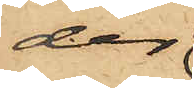der
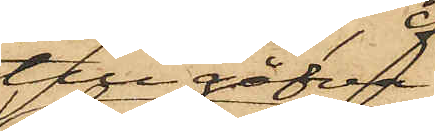till gåfva
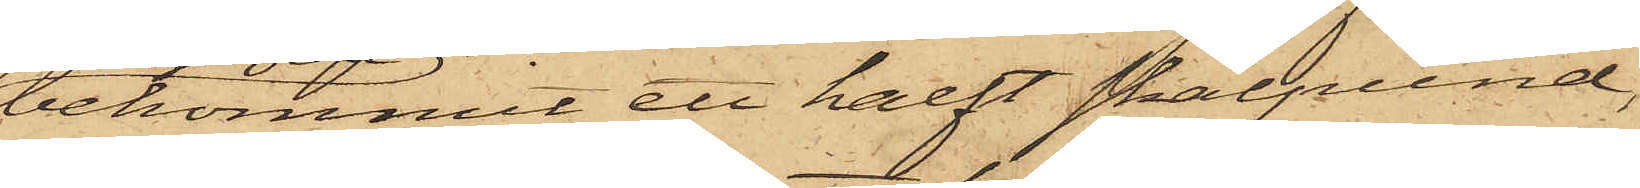bekommit ett halft skålpund,
